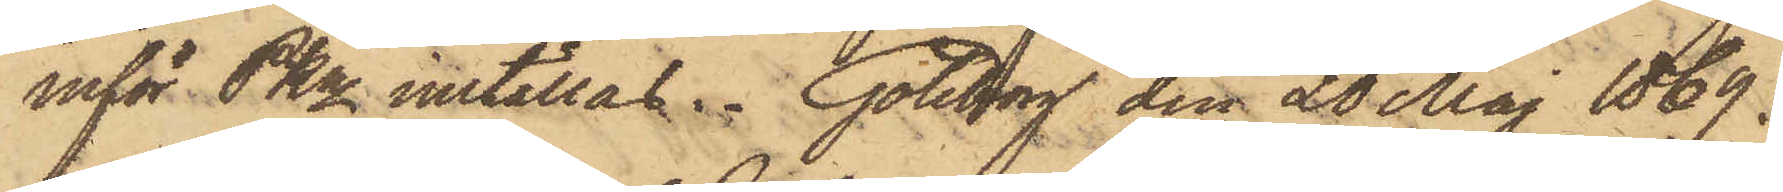inför PKn inställas. Göteborg den 20 Maj 1869.
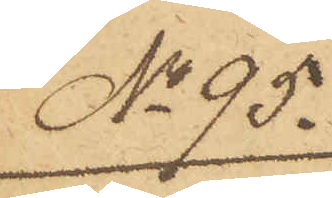No 95.
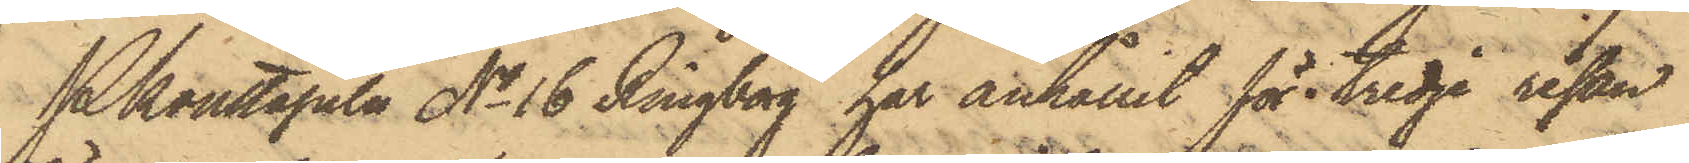Pkonstapeln No 16 Ringborg har anhållit för tredje resan
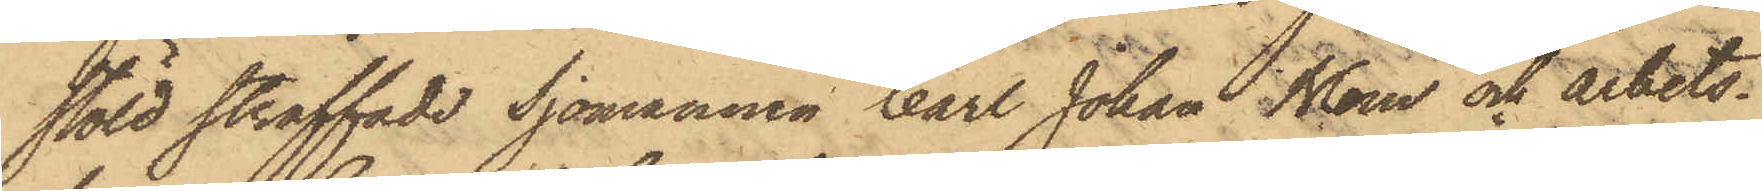stöld straffade Sjomannen Carl Johan Blom och arbets¬
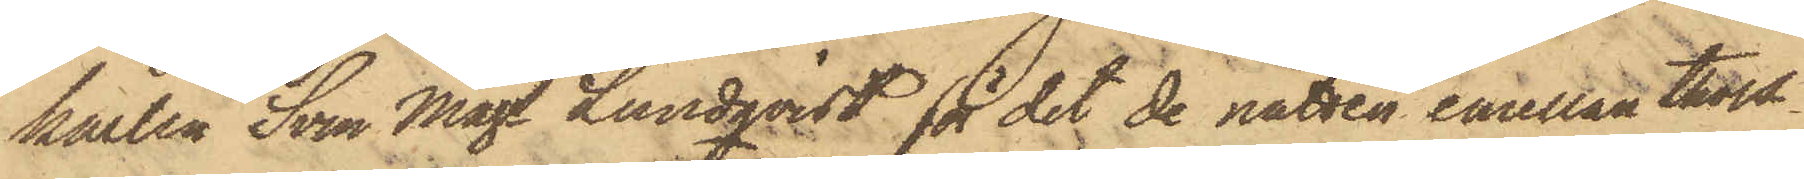karlen Sven Mags Lundqvist för det de natten emellan thors¬
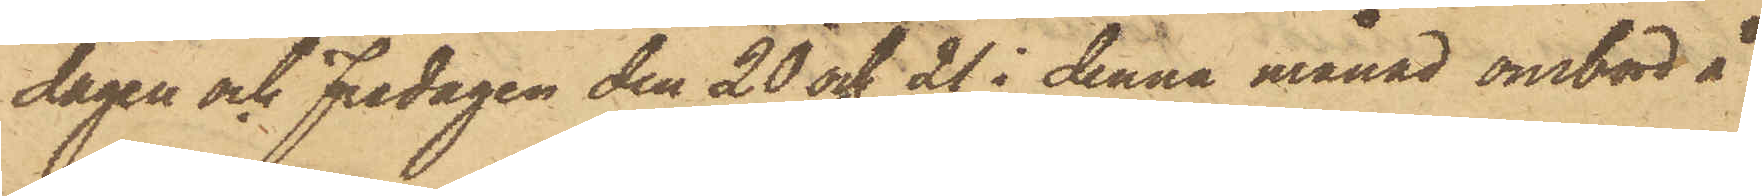dagen och Fredagen den 20 och 21 i denna månad ombord å
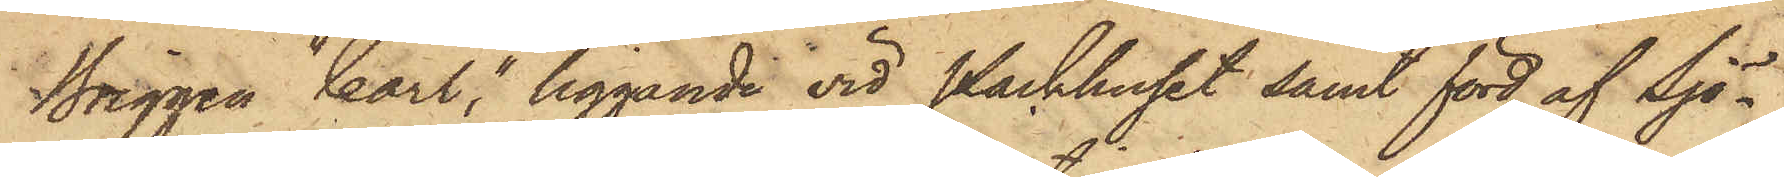Briggen "Carl", liggande vid Packhuset samt förd af Sjö¬
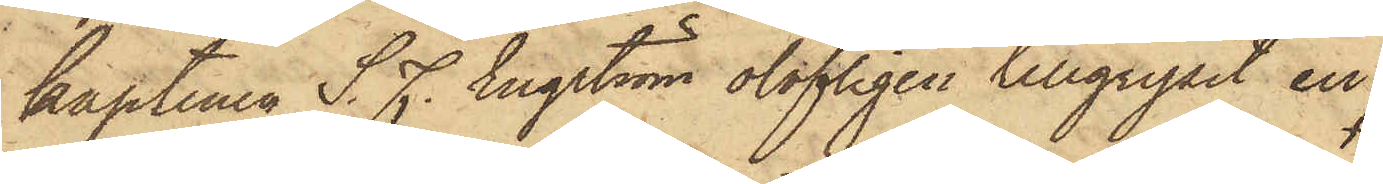kaptenen S. F. Engström olofligen tillgripit en
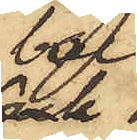bal
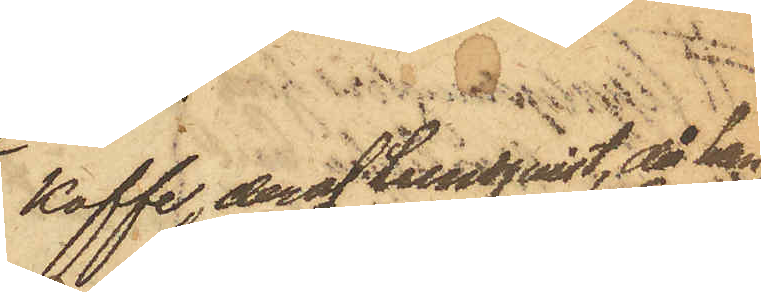kaffe, deraf Lundqvist, då han
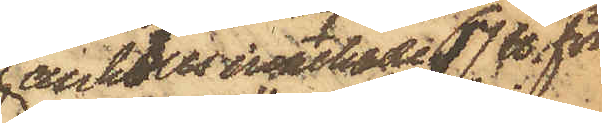anhölls innehade 17 ℔ för¬
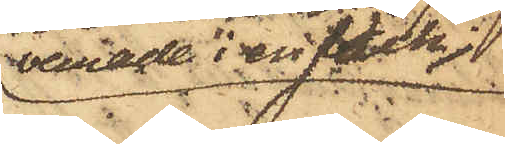varade i en säck;
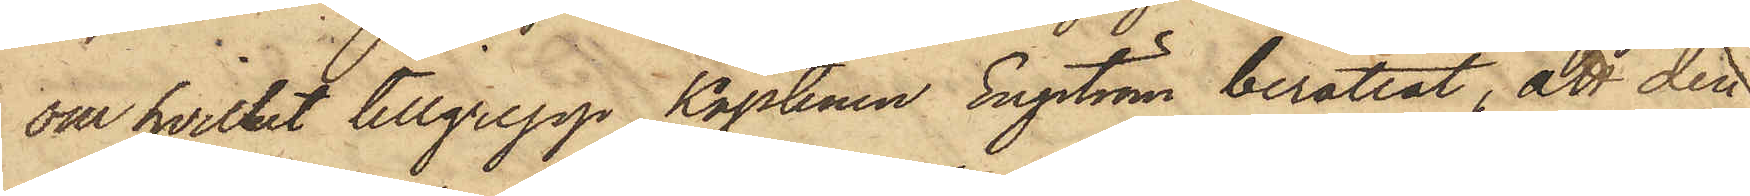om hvilket tillgrepp Kaptenen Engström berättat, att den
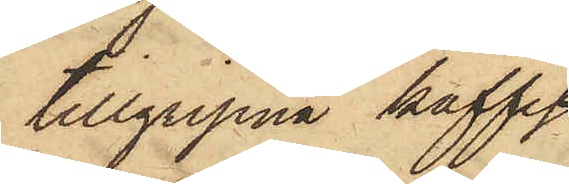tillgripna kaffe¬
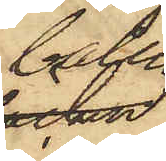balen
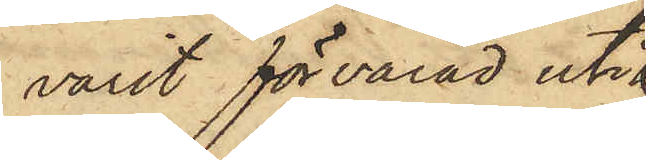varit förvarad uti
